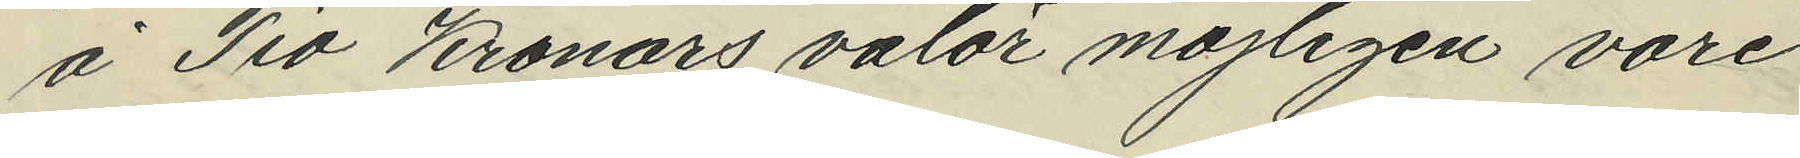å Tio Kronors valör möjligen vore
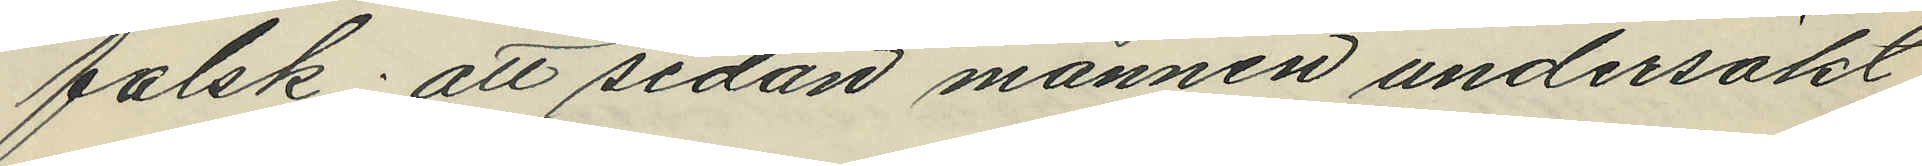falsk; att sedan mannen undersökt
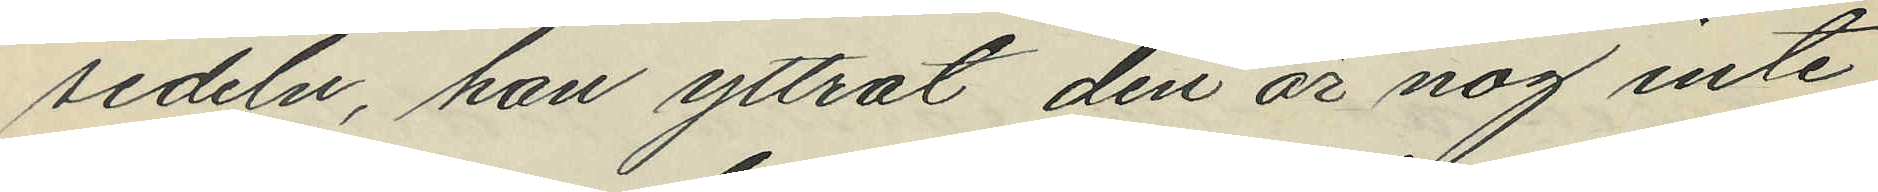sedeln, han yttrat "den är nog inte
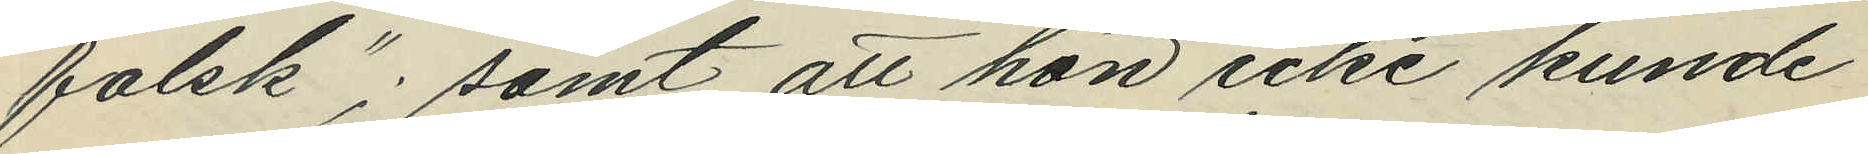falsk"; samt att hon icke kunde
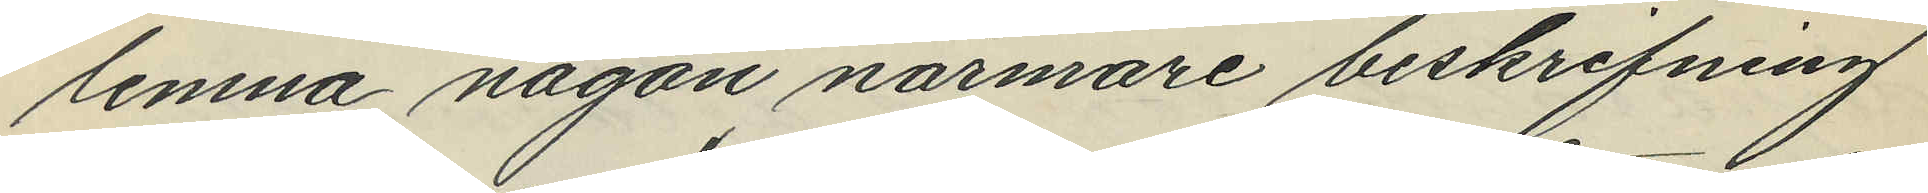lemna någon närmare beskrifning
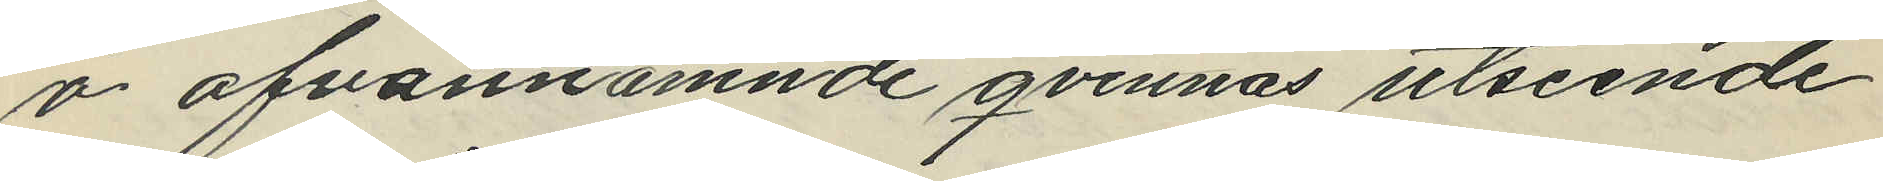å ofvannämnde qvinnas utseende
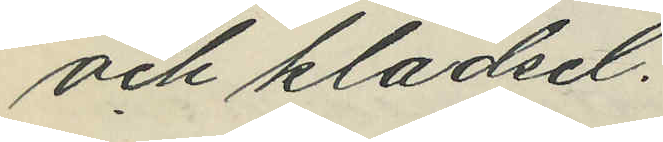och klädsel.
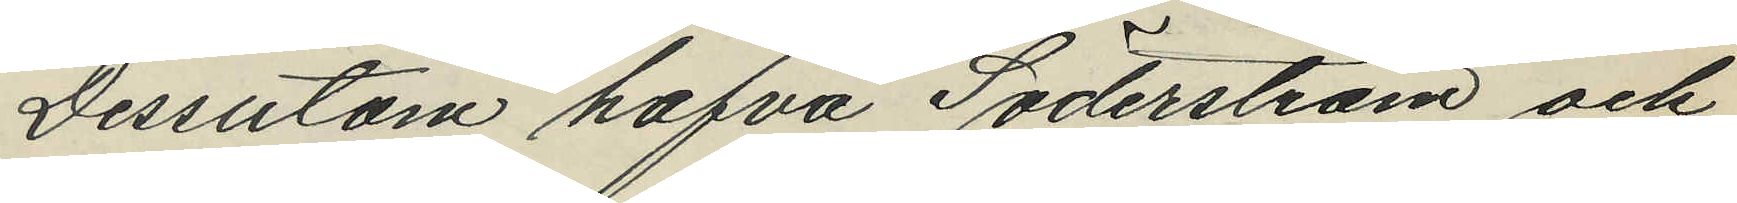Dessutom hafva Söderström och
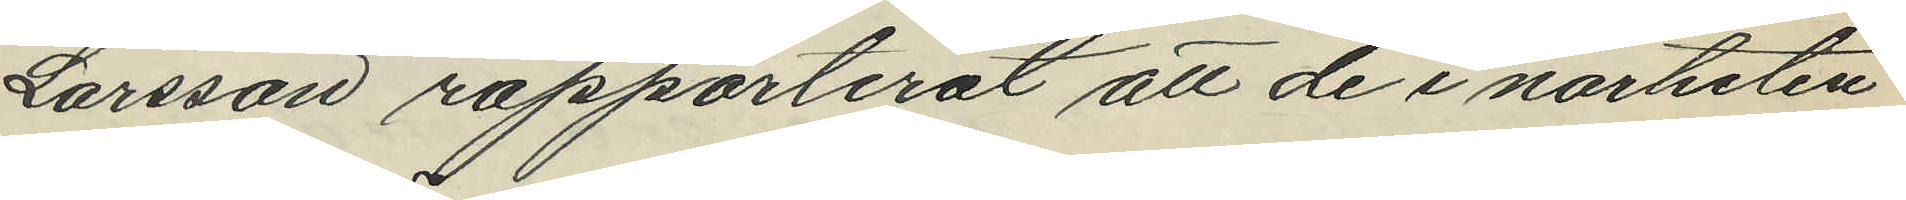Larsson rapporterat att de i närheten
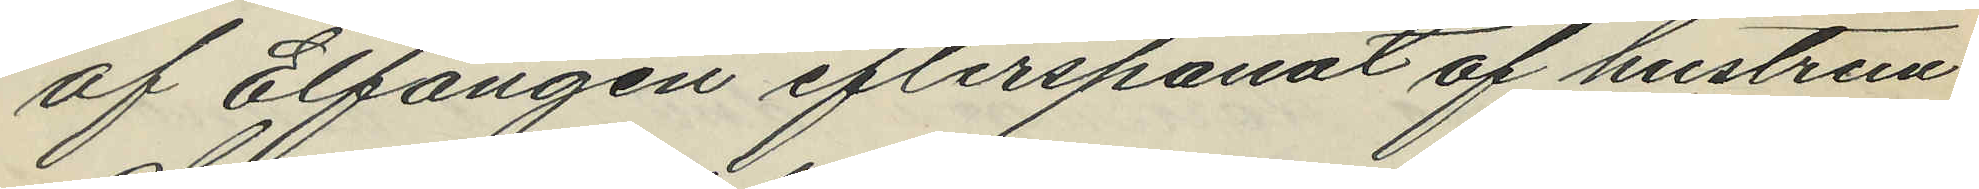af Elfängen efterspanat af hustrun
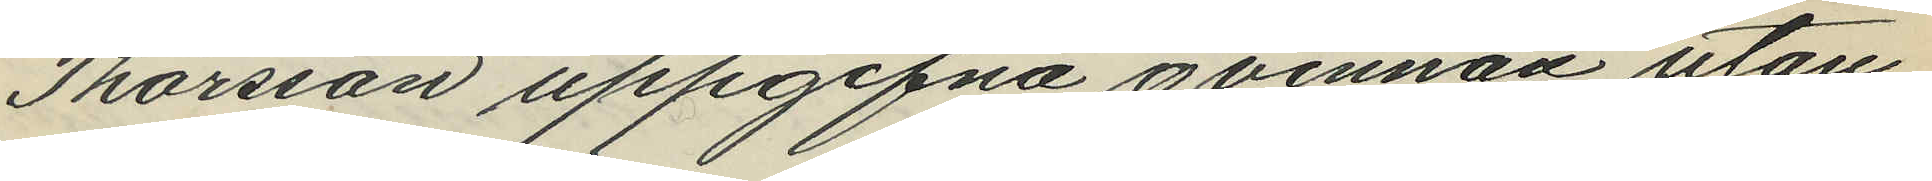Thorsson uppgifna qvinnan utan
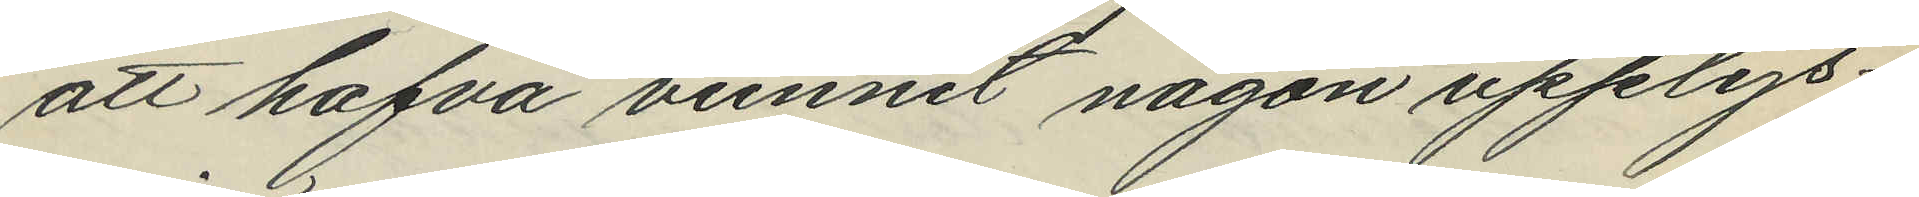att hafva vunnit någon upplys¬
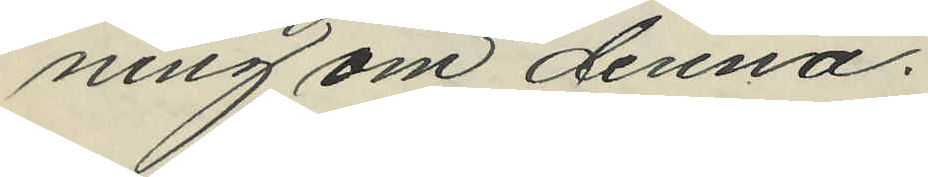ning om denna.
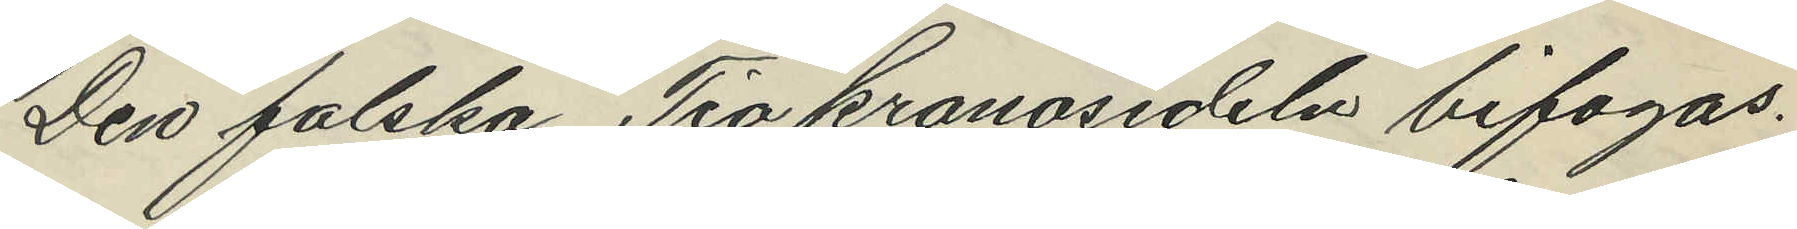Den falska Tio kronosedeln bifogas.
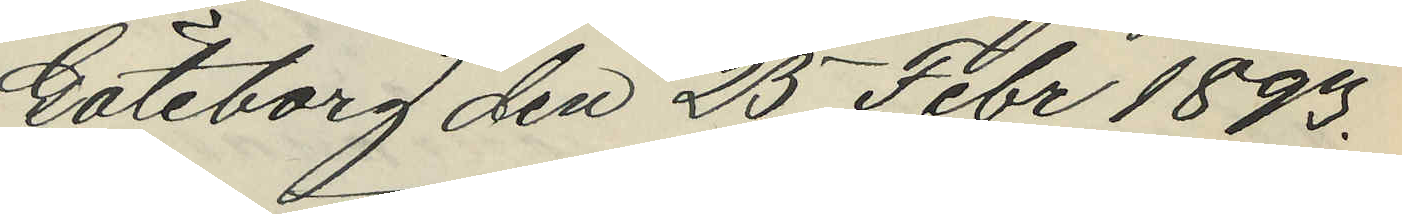Göteborg den 25 Febr 1893.
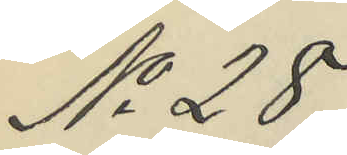No 28.
